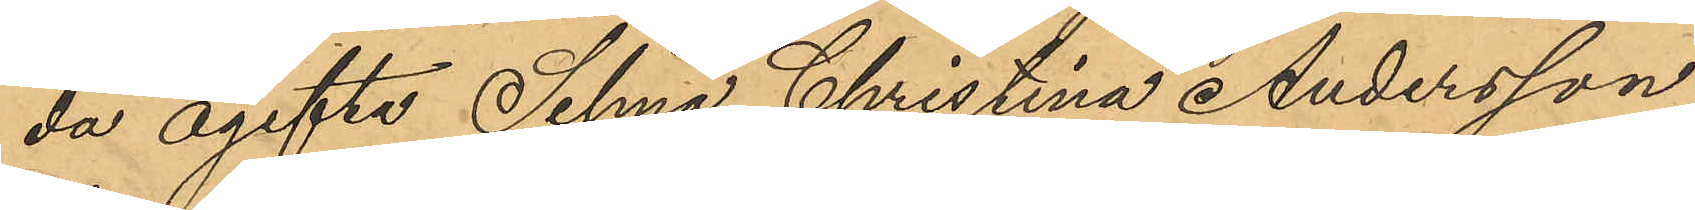da ogifta Selma Christina Andersson,
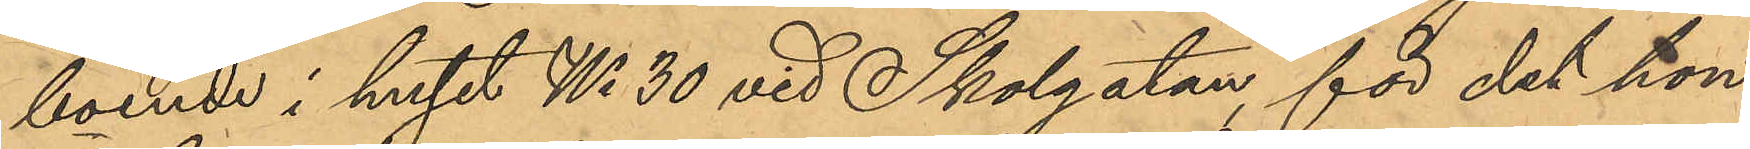boende i huset No 30 vid Skolgatan, för det hon
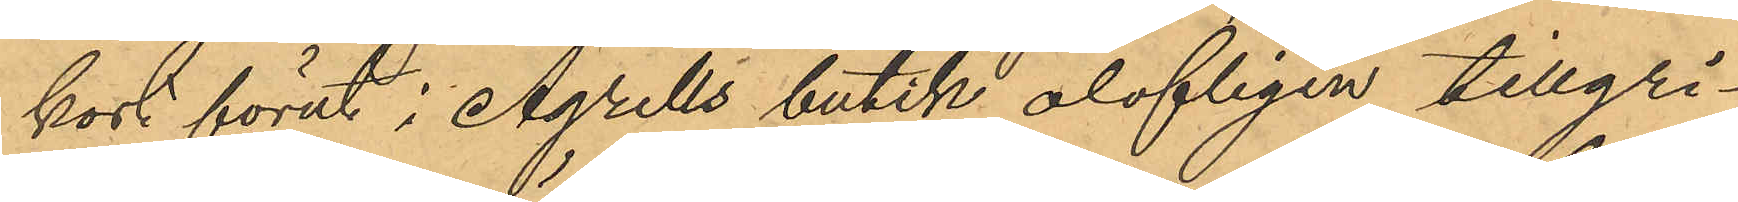kort förut i Agrells butik olofligen tillgri¬
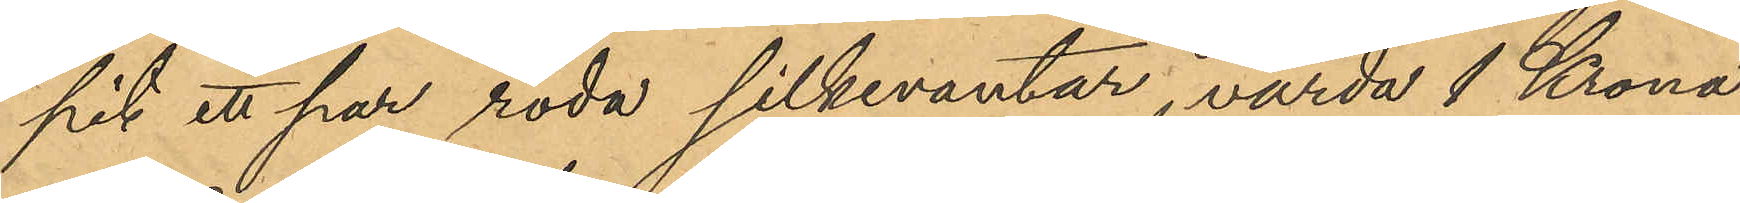pit ett par röda silkevantar, värda 1 Krona
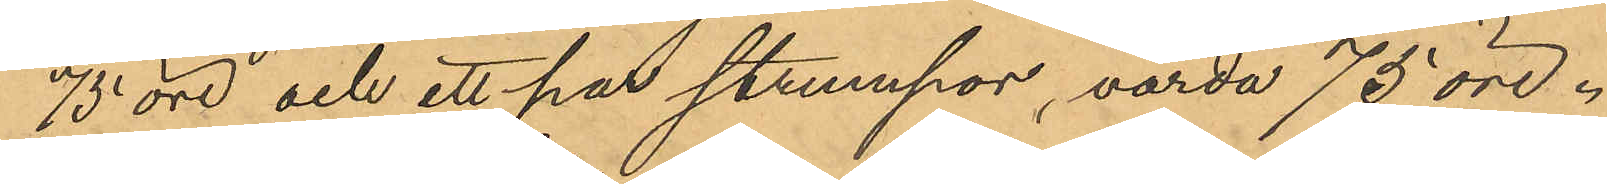75 öre och ett par strumpor, värda 75 öre.
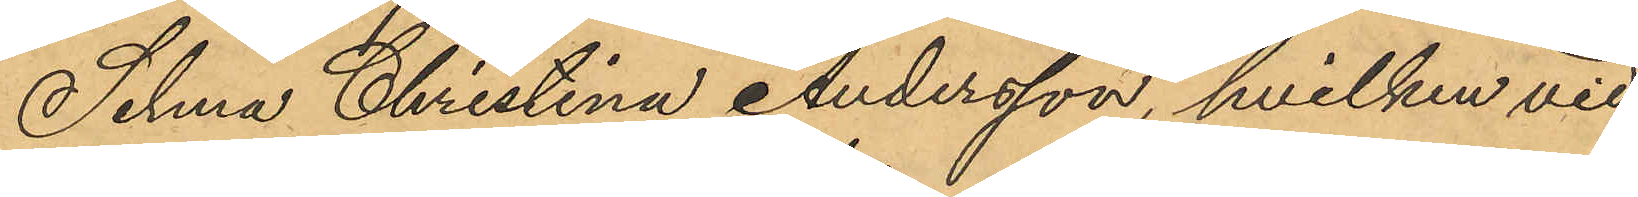Selma Christina Andersson, hvilken vid
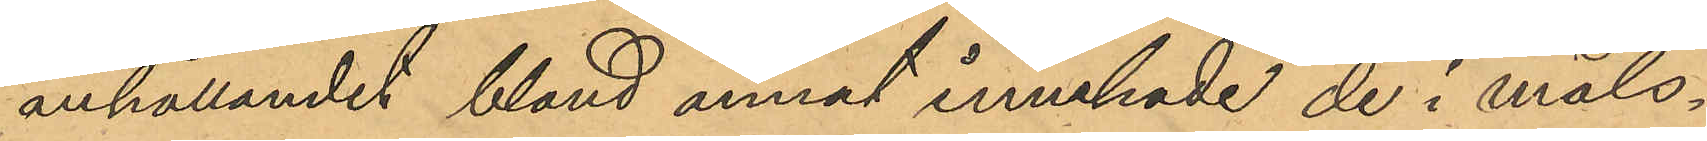anhållandet bland annat innehade de i måls¬
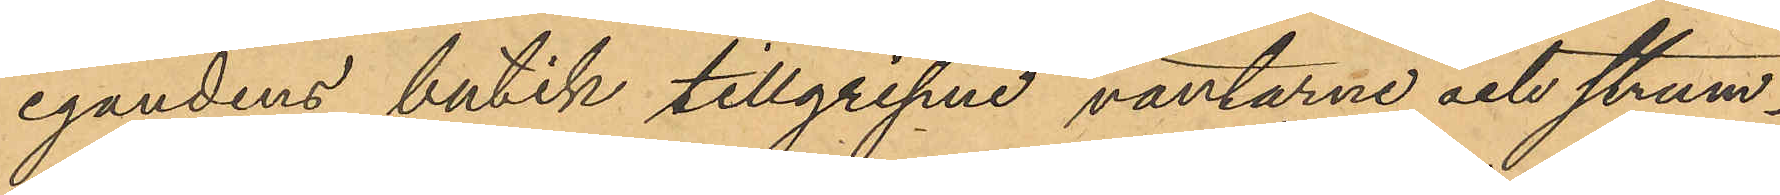egandens butik tillgripne vantarne och strum¬
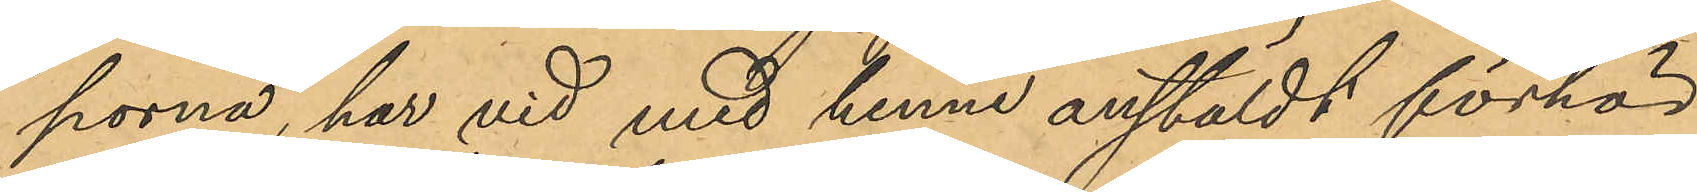porna, har vid med henne anstäldt förhör
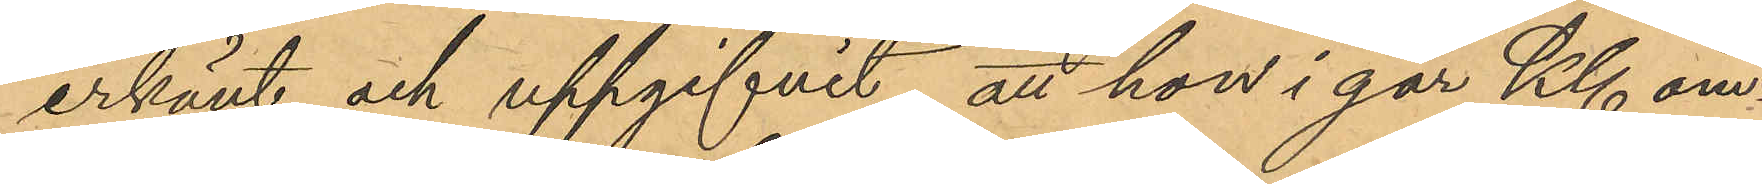erkänt och uppgifvit, att hon i går Kl om¬
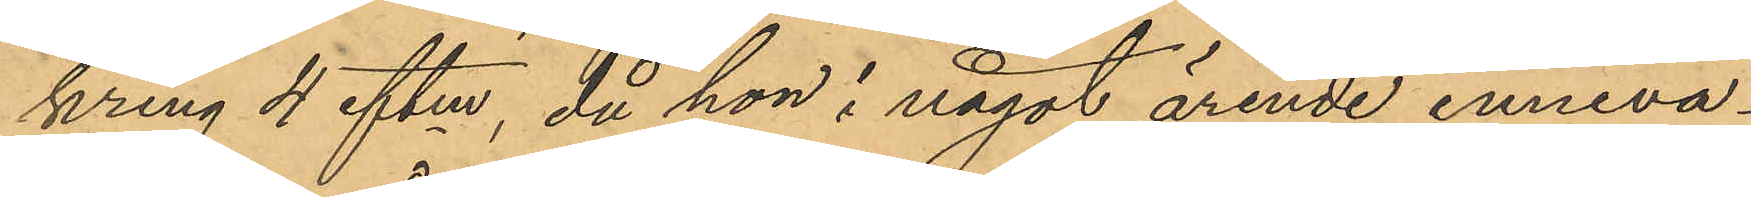kring 4 eftm, då hon i något ärende inneva¬
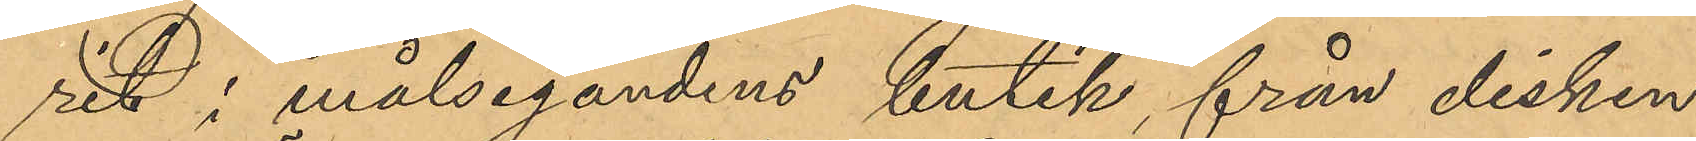rit i målsegandens butik, från disken
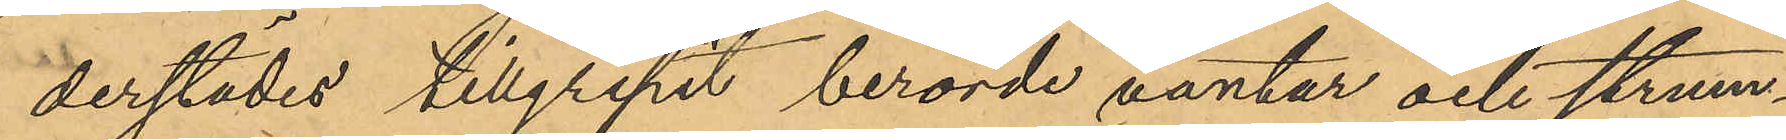derstädes tillgripit berörde väntar och strum¬
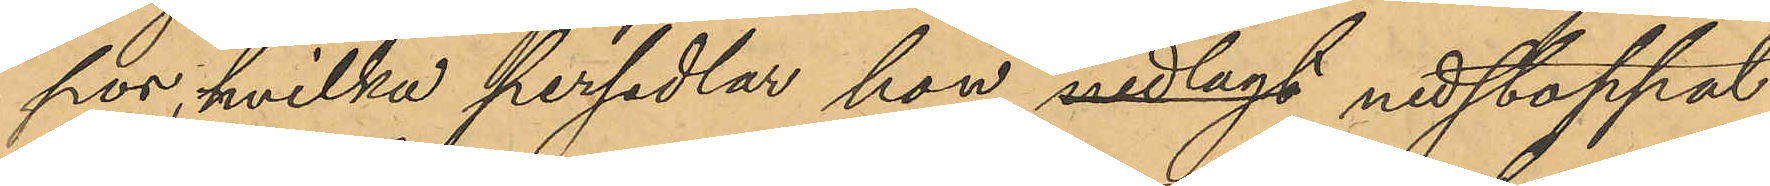por, hvilka persedlar hon nedlagt nedstoppat
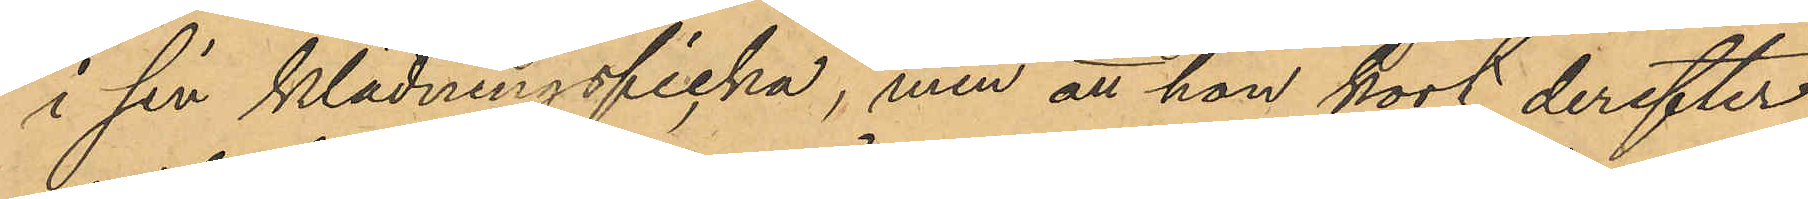i sin klädningsficka, men att hon kort derefter
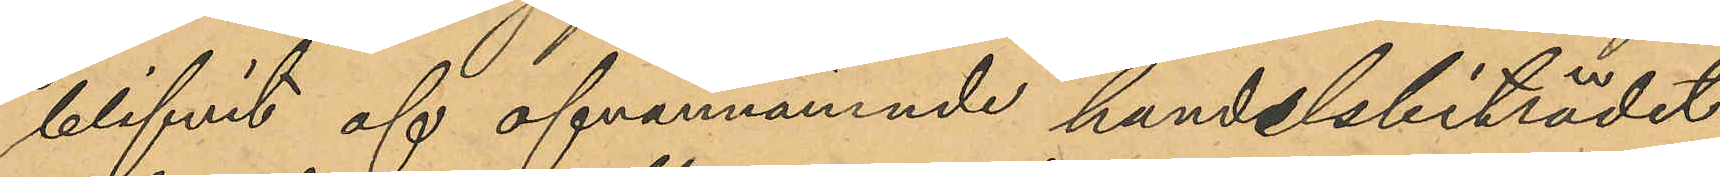blifvit af ofvannämnde handelsbiträdet
